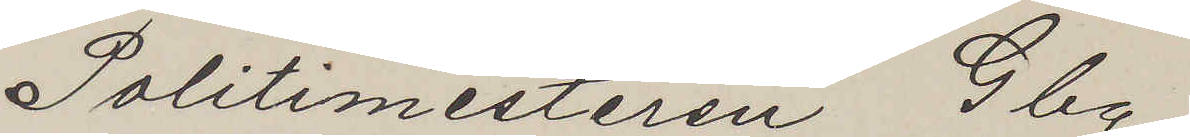Politimesteren Gbg.
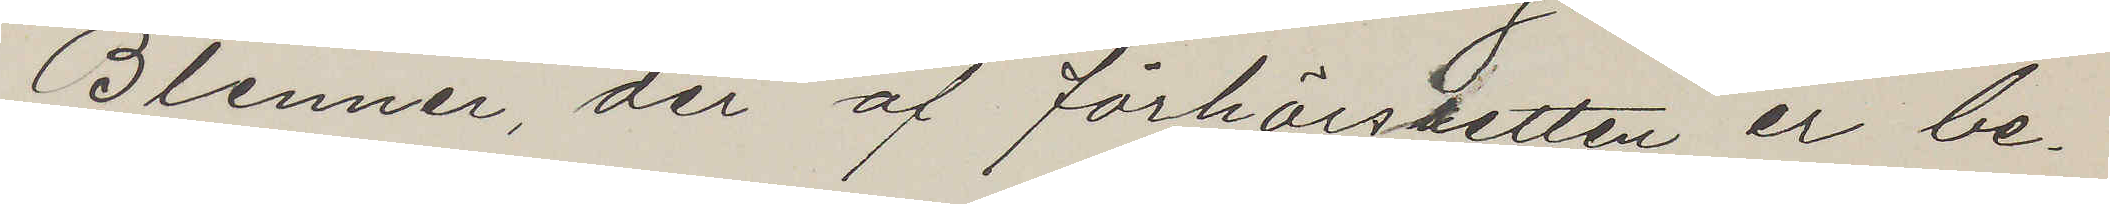Blenner, der af förhörssetten er be¬
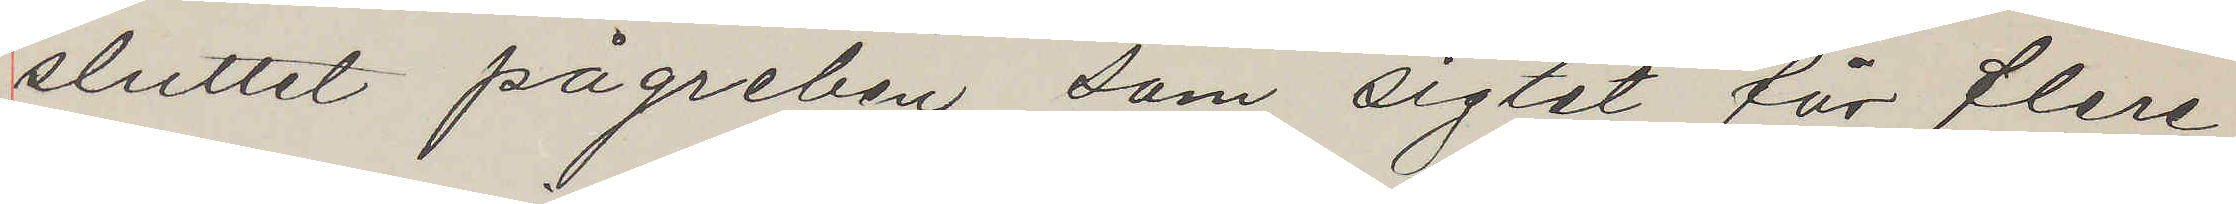sluttet pågreben som sigtet får flere¬
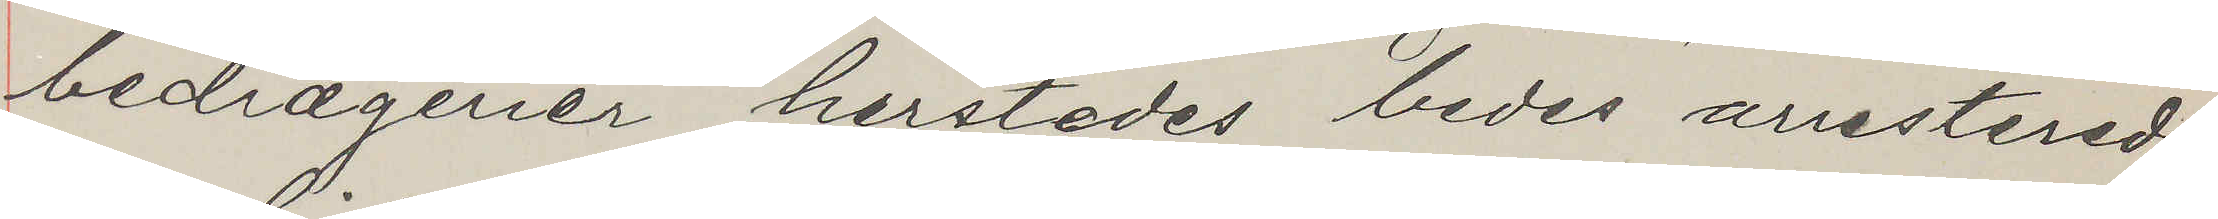bedrægerier herstedes bedes arrestered
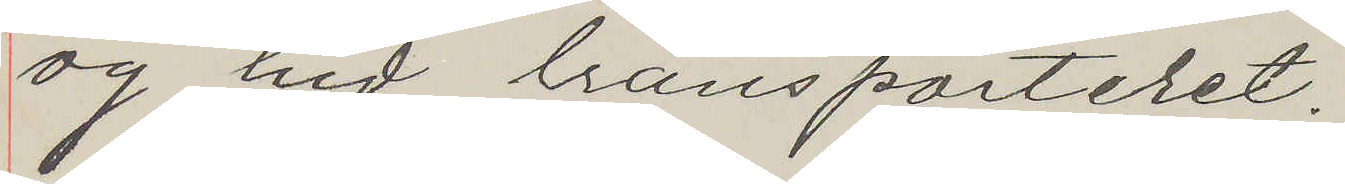og hid transporteret.
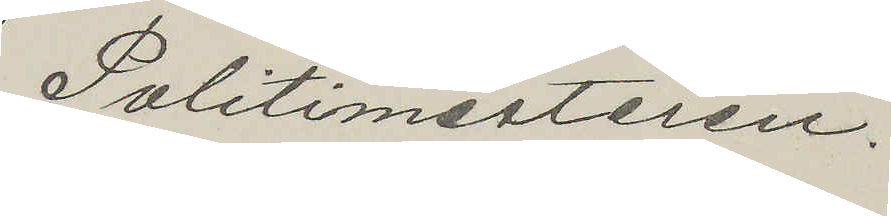Politimesteren.
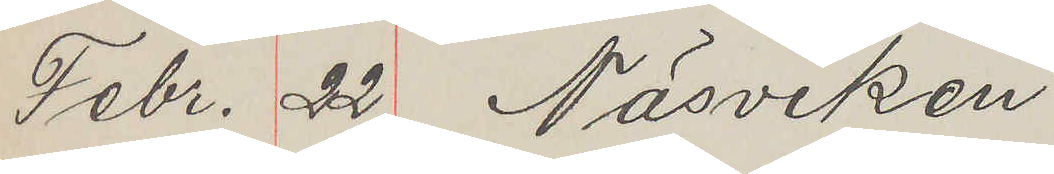Febr. 22 Näsviken
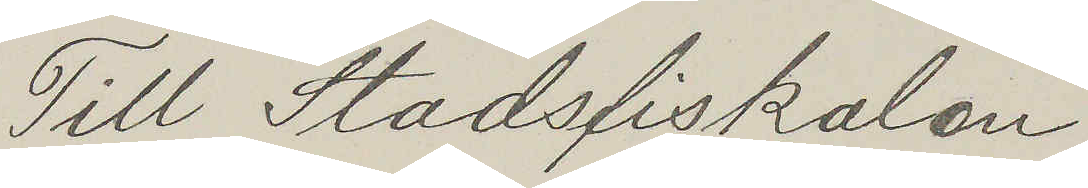Till Stadsfiskalen
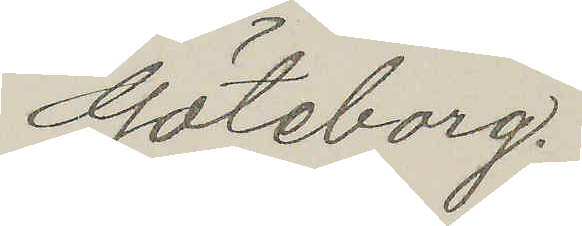Göteborg.
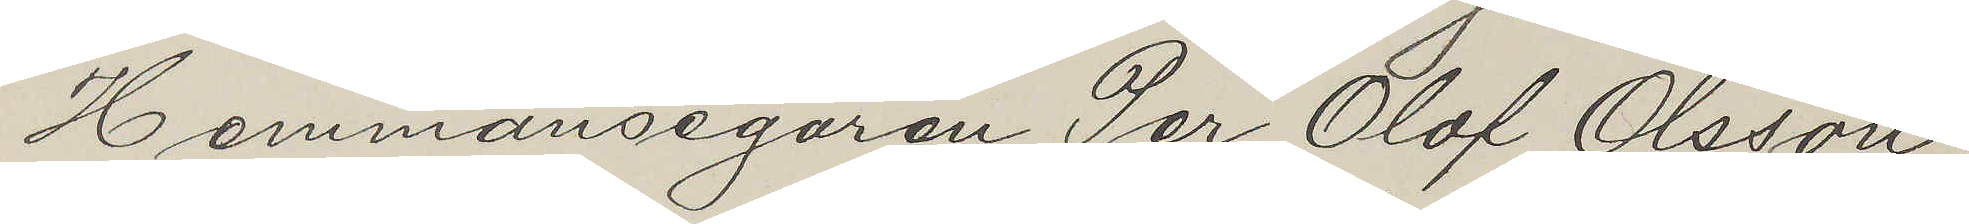Hemmansegaren Per Olof Olsson,
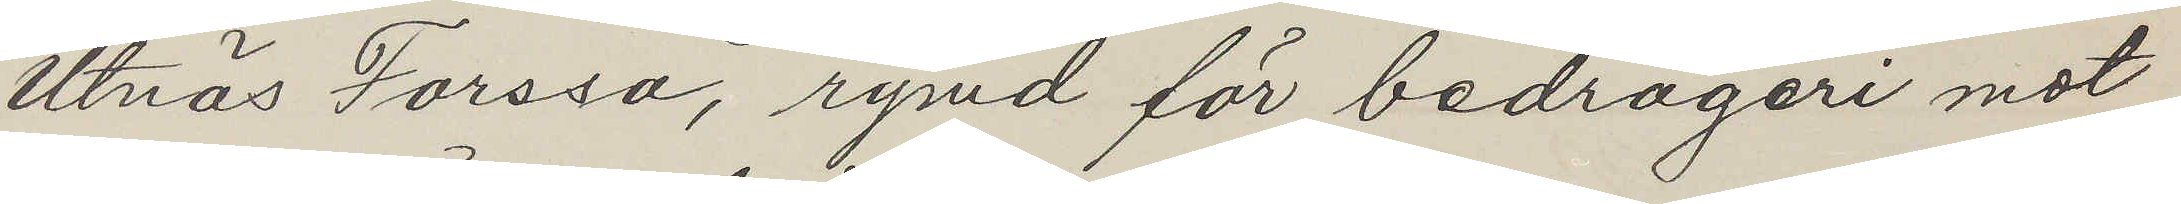Utnäs Forssa, rymd för bedrägeri mot
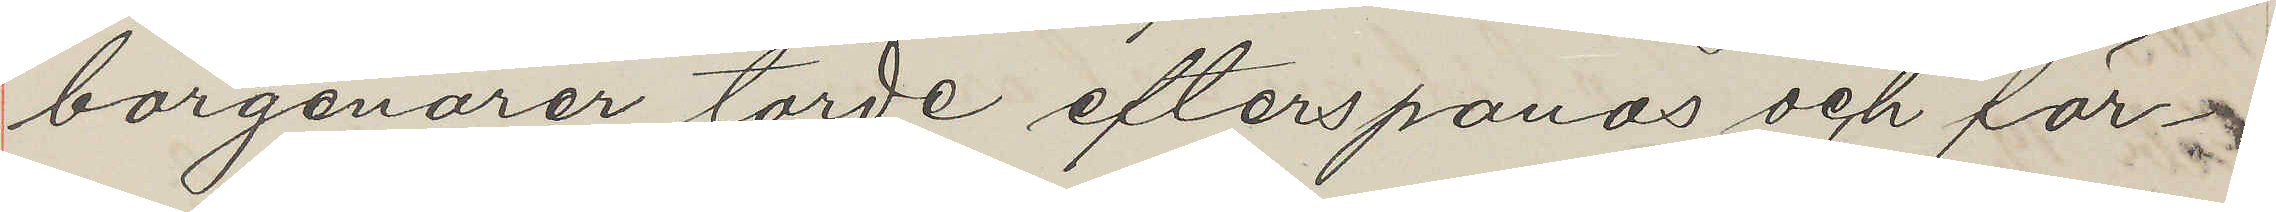borgenärer torde efterspanas och för¬
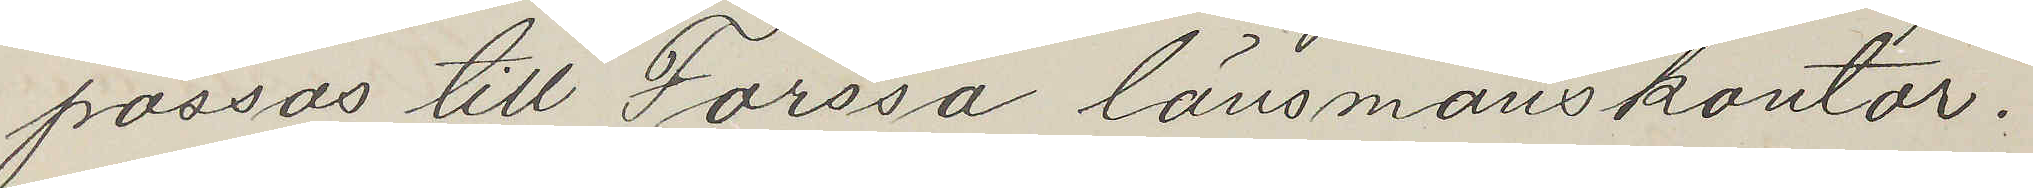passas till Forssa länsmanskontor.
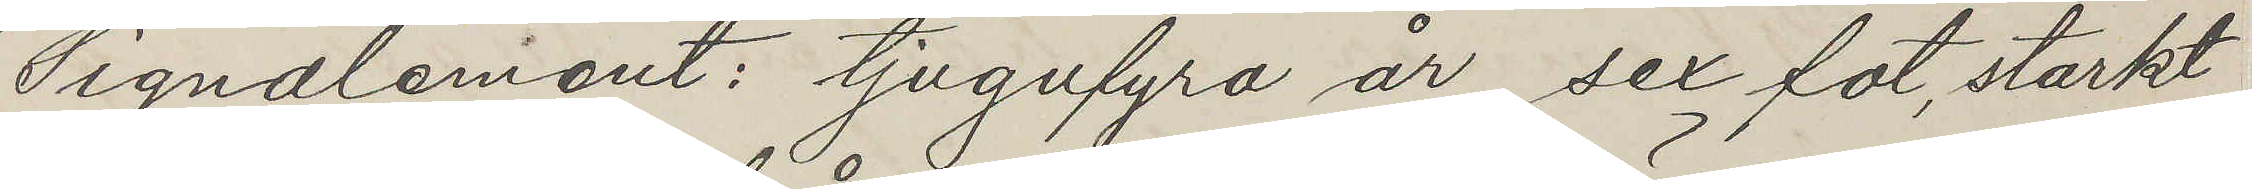Signalement: tjugufyra år, sex fot, starkt
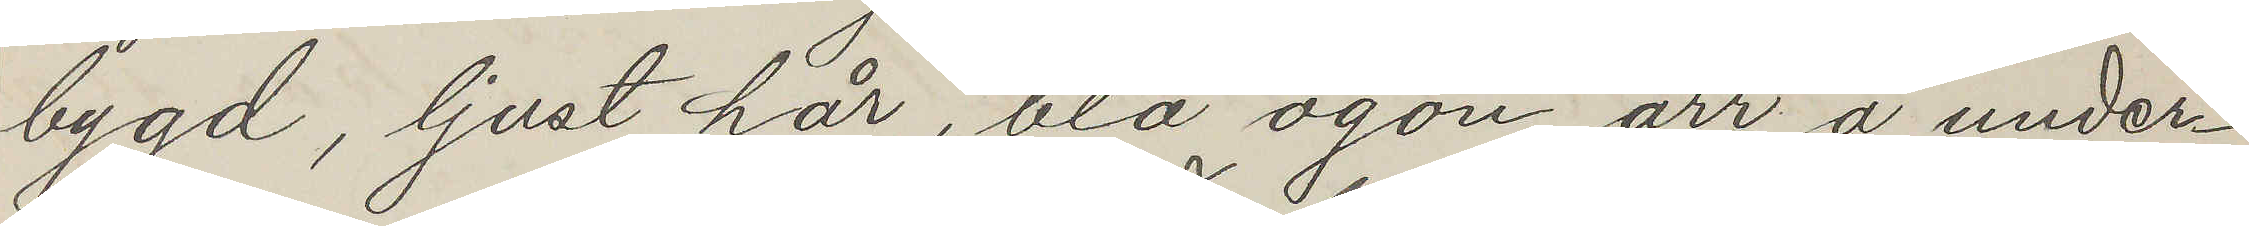bygd, ljust hår, blå ögon, ärr å under¬
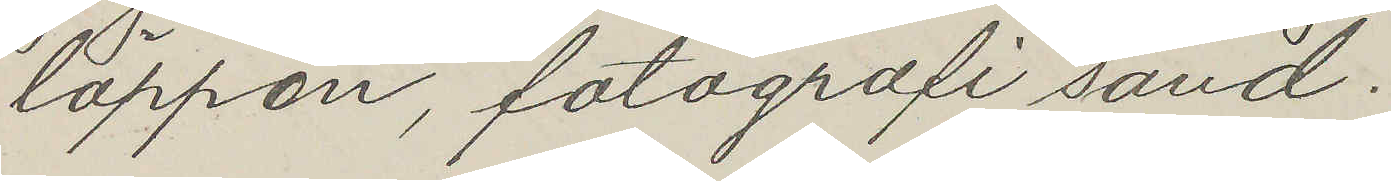läppen, fotografi sänd.
